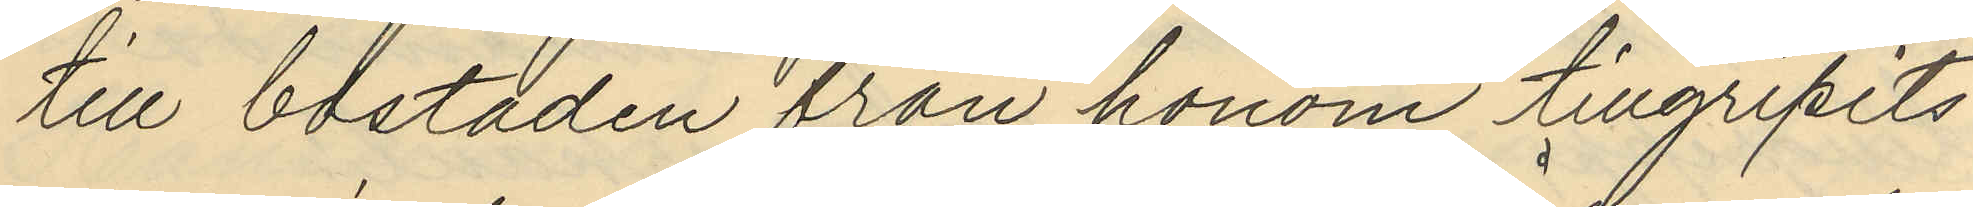till bostaden från honom tillgripits
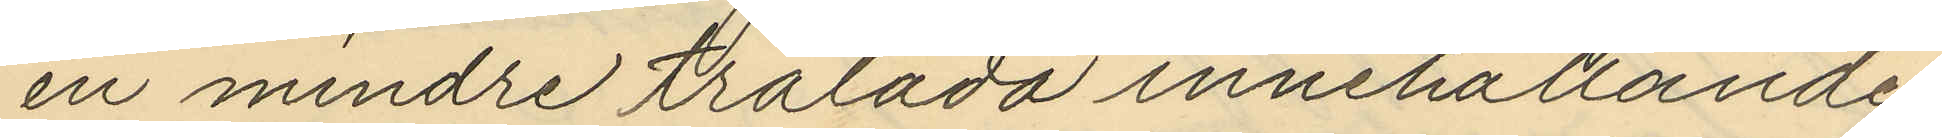en mindre trälåda innehållande
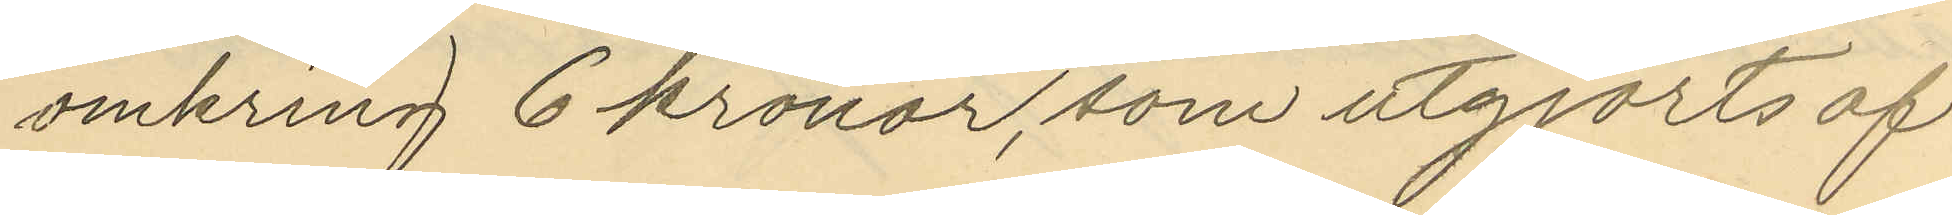omkring 6 kronor, som utgjorts af
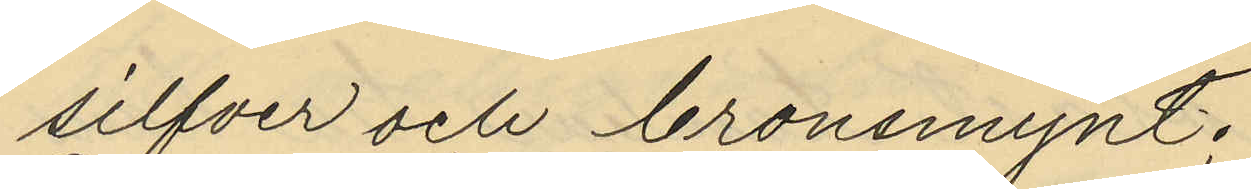silfver och bronsmynt;
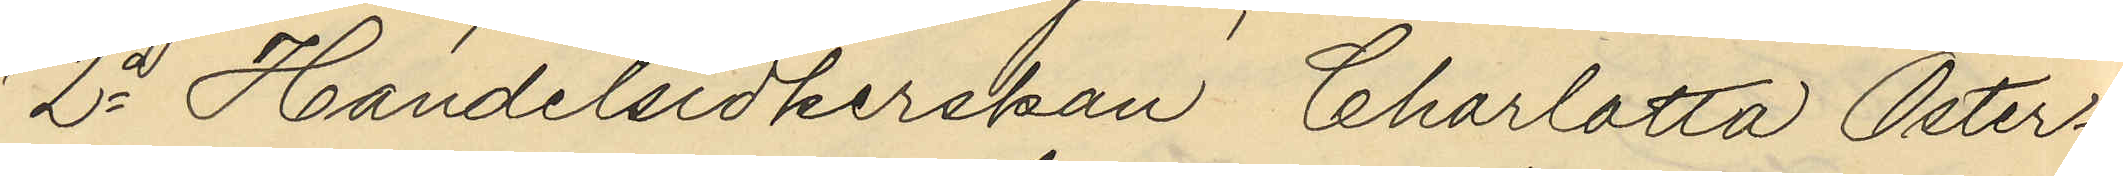2o Handelsidkerskan, Charlotta Öster¬
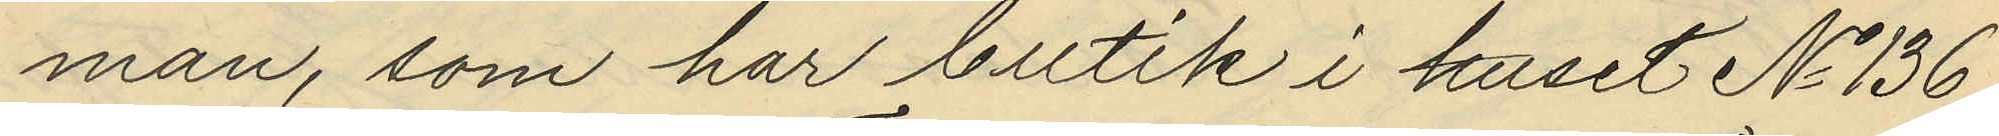man, som har butik i huset No 136
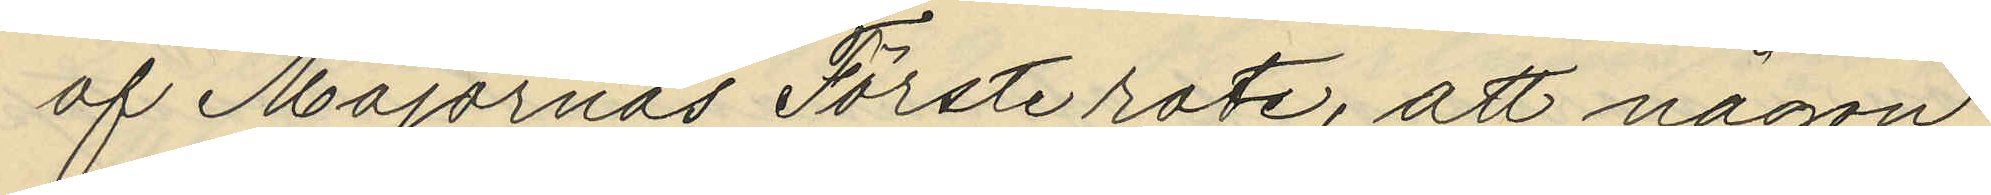af Majornas Förste rote, att någon
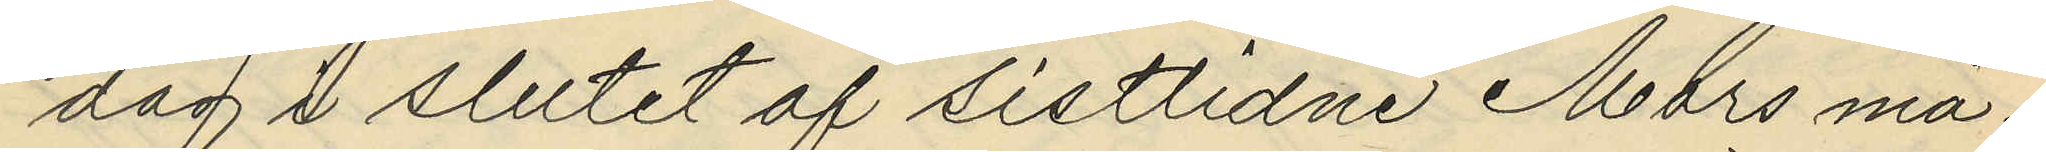dag i slutet af sistlidne Mars må¬
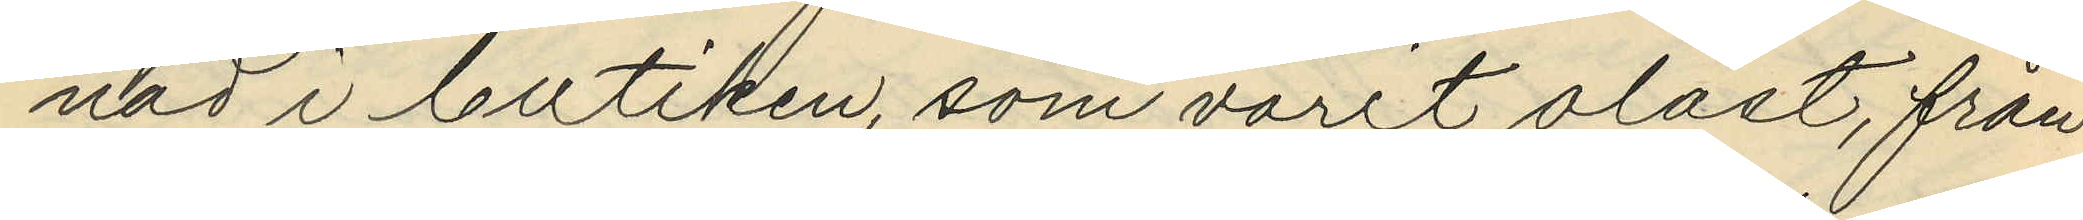nad i butiken, som varit olåst, från
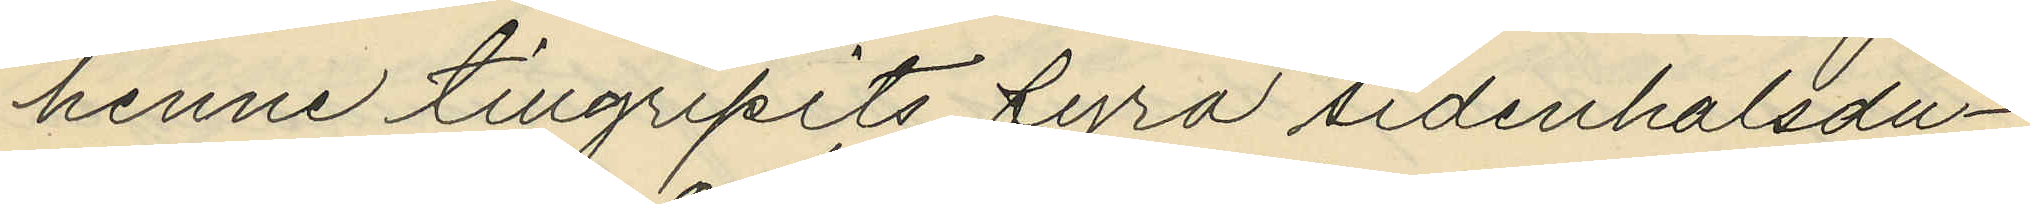henne tillgripits fyra sidenhalsdu¬
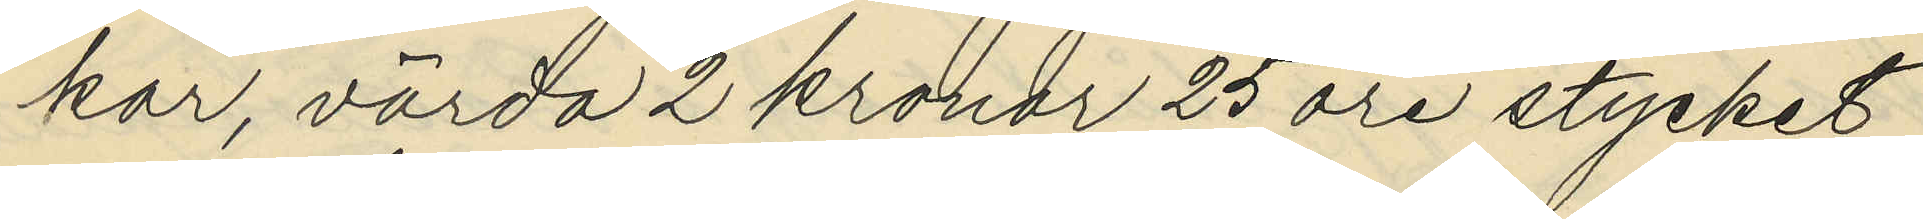kar, värda 2 kronor 25 öre stycket
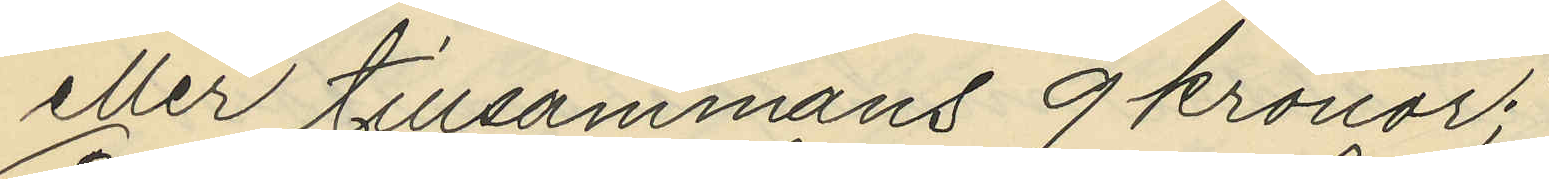eller tillsammans 9 kronor;
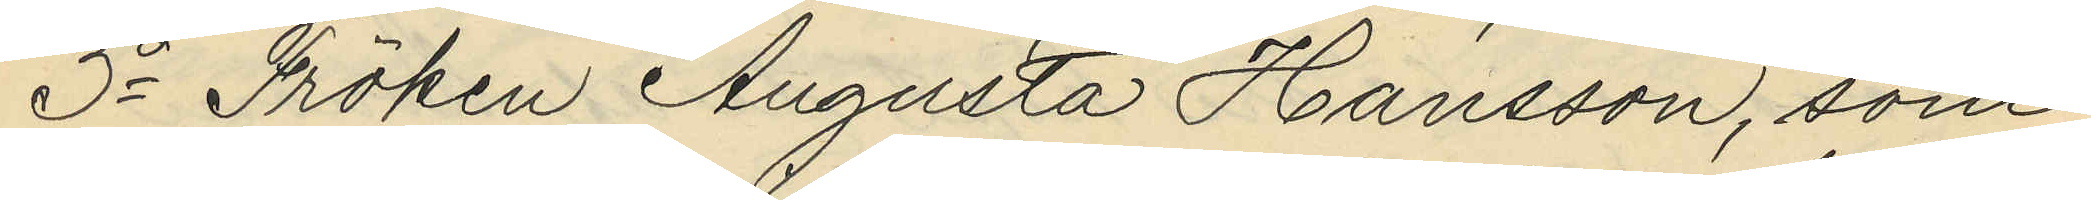3o Fröken Augusta Hansson, som
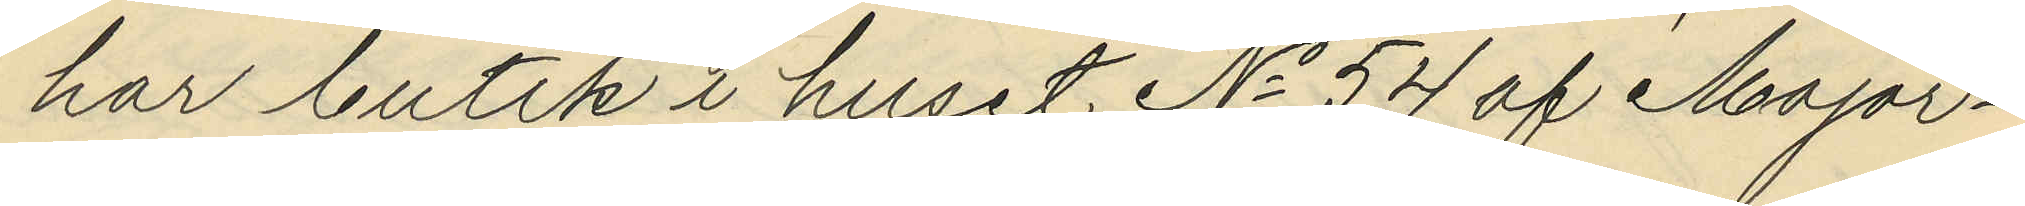har butik i huset No 54 af Major¬
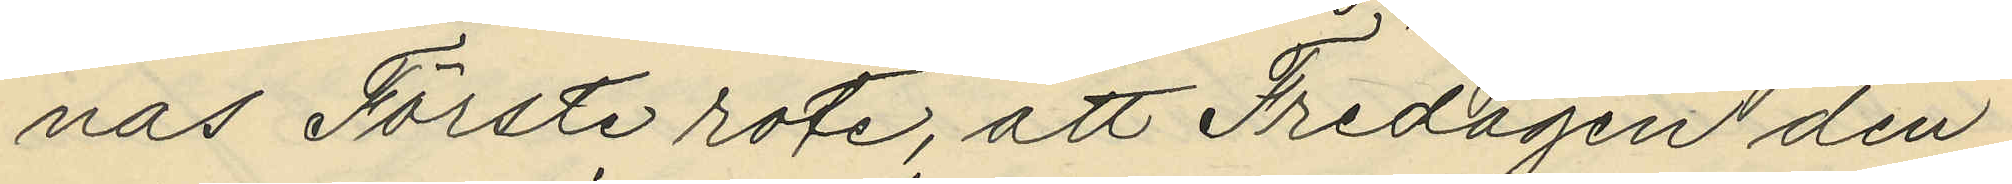nas Förste rote, att Fredagen den
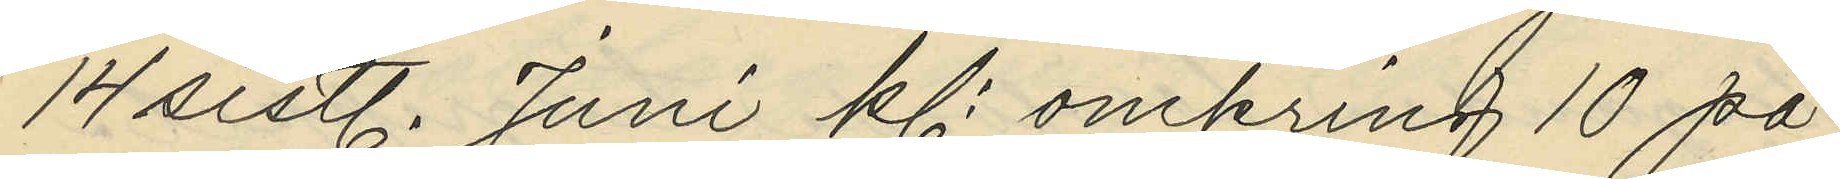14 sistl. Juni kl. omkring 10 på
